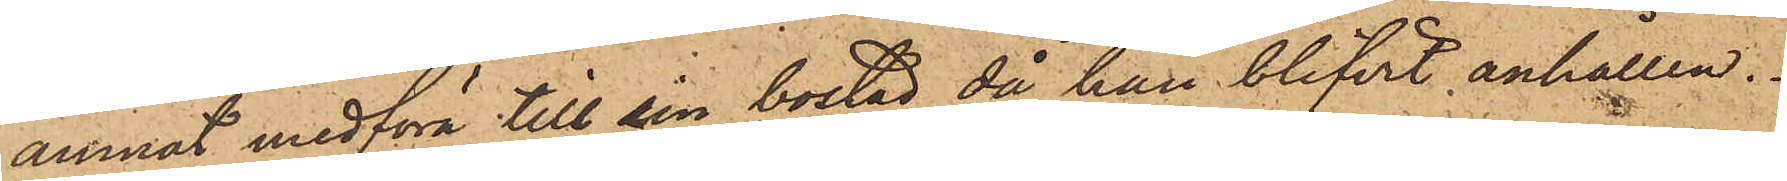ämnat medföra till sin bostad, då han blifvit anhållen.
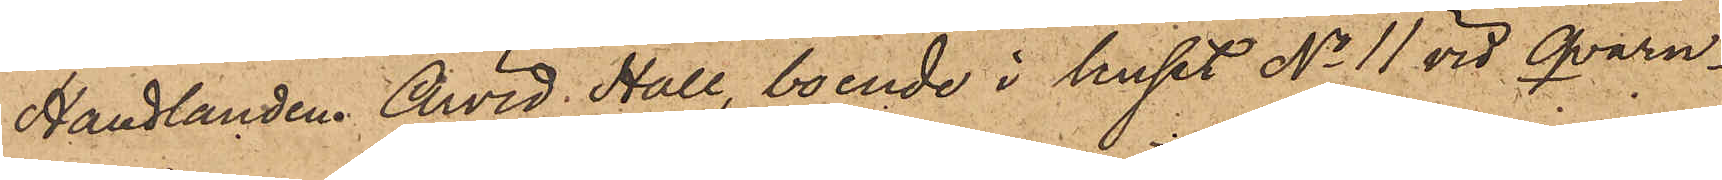Handlanden Arvid Hall, boende i huset No 11 vid Qvarn¬
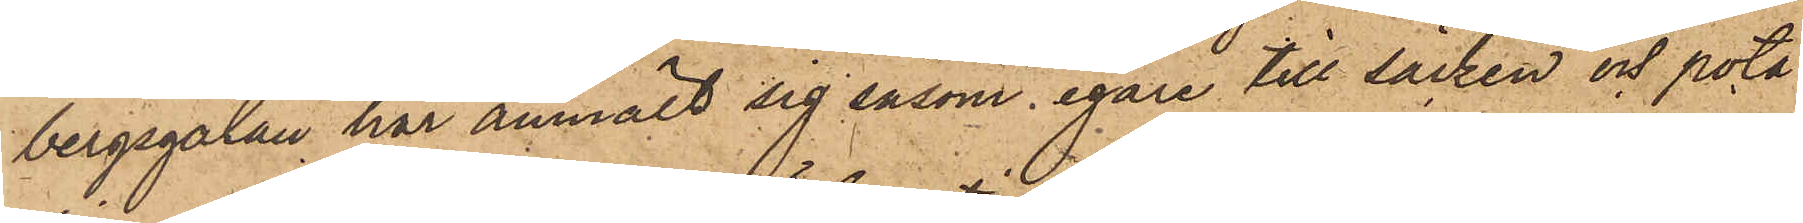bergsgatan har anmält sig såsom egare till säcken och pota¬
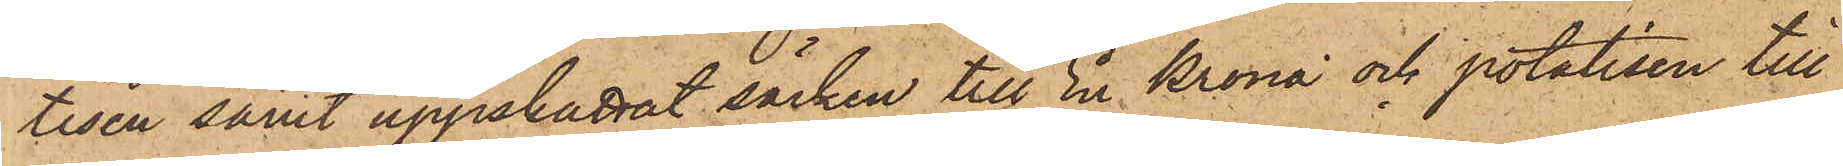tisen samt uppskattat säcken till En Krona och potatisen till
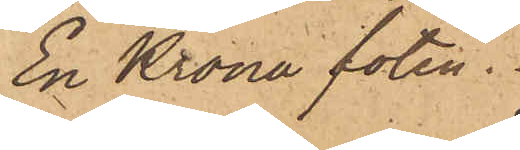En Krona foten.
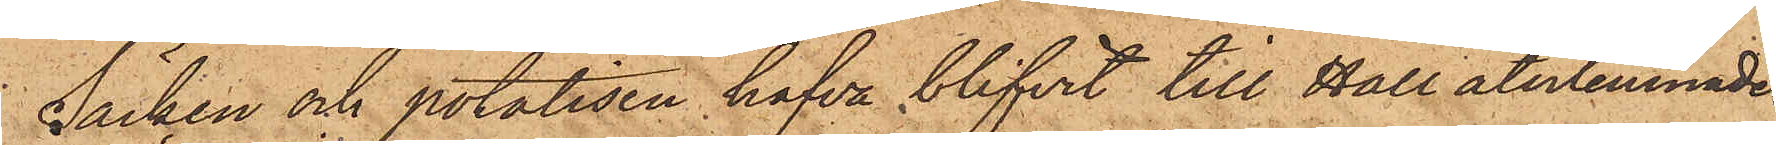Säcken och potatisen hafva blifvit till Hall återlemnade.
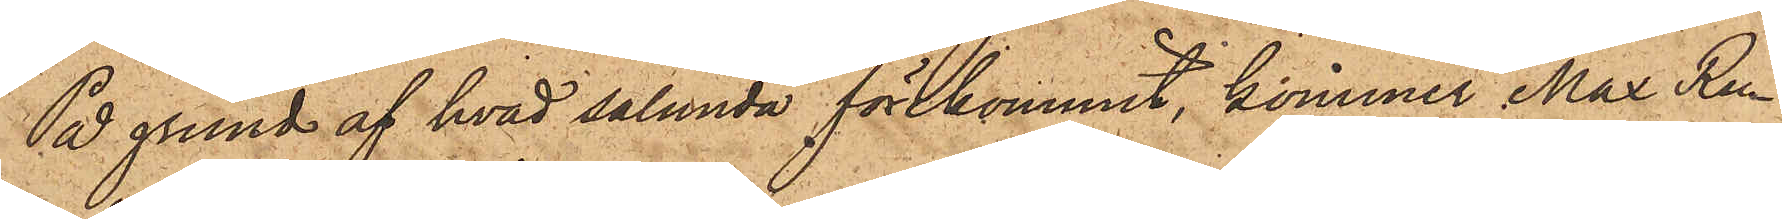På grund af hvad sålunda förekommit, kommer Max Ru¬
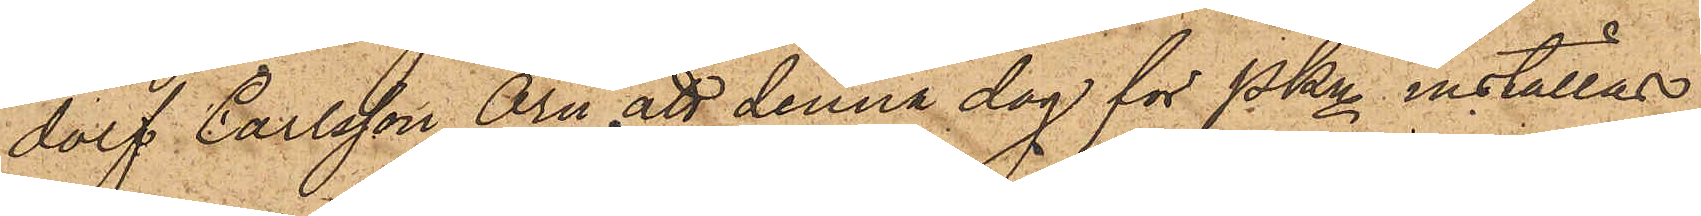dolf Carlsson Örn att denna dag för PKn inställas.
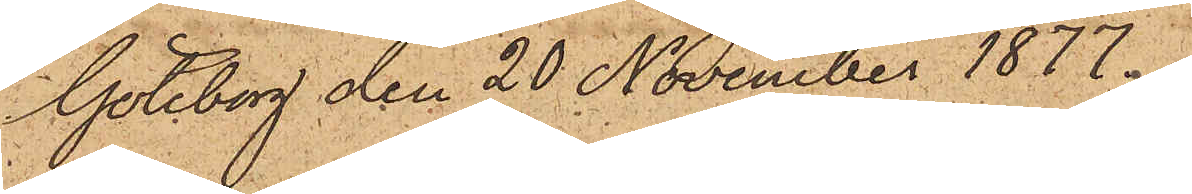Göteborg den 20 November 1877.
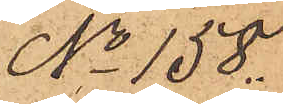No 158.
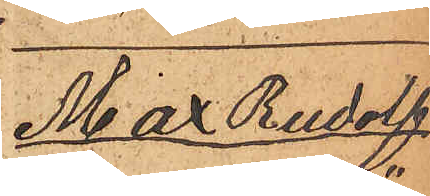Max Rudolf
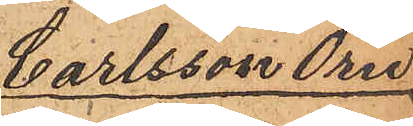Carlsson Örn
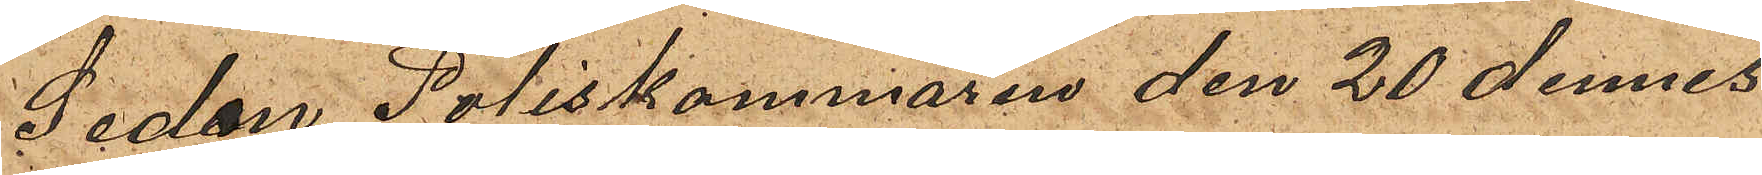Sedan Poliskammaren den 20 dennes
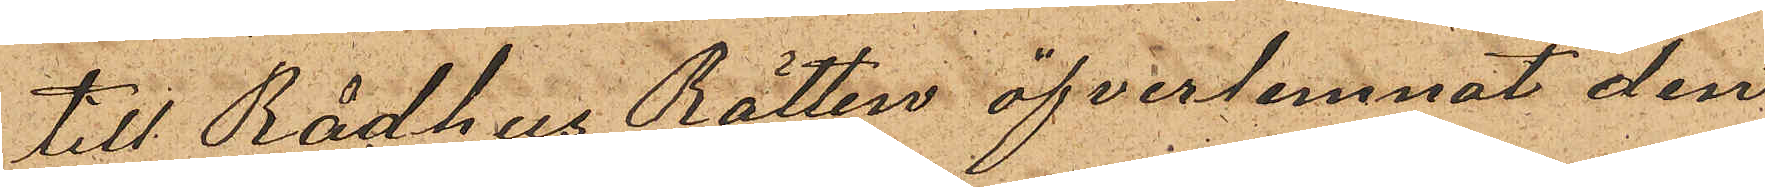till Rådhus Rätten öfverlemnat den
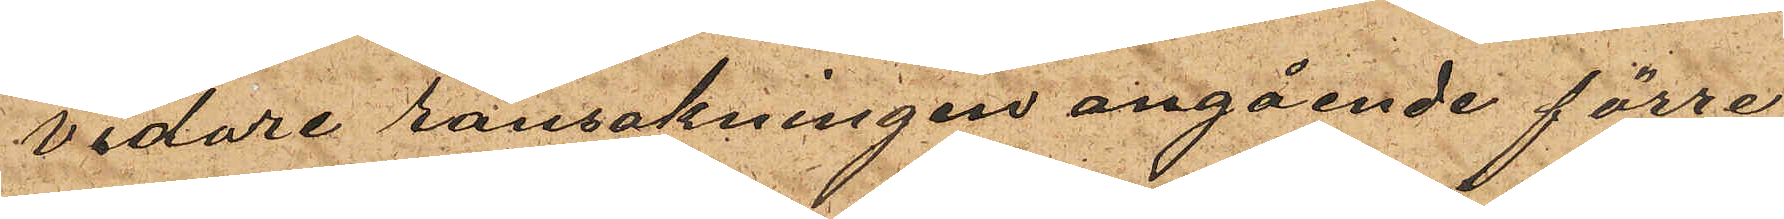vidare ransakningen angående förre
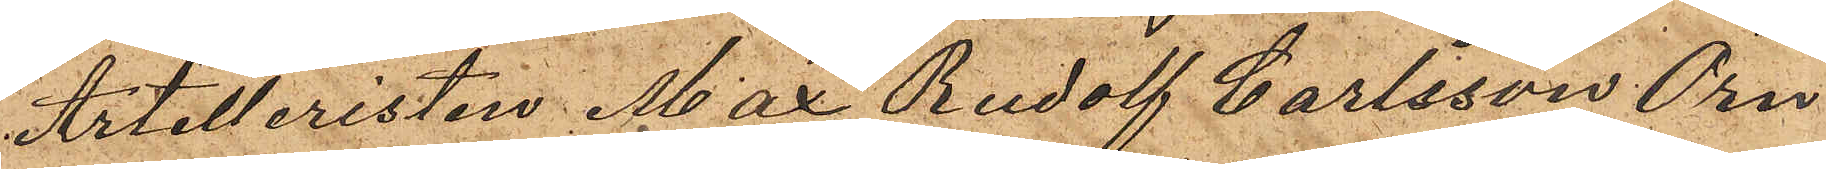Artilleristen Max Rudolf Carlsson Örn
